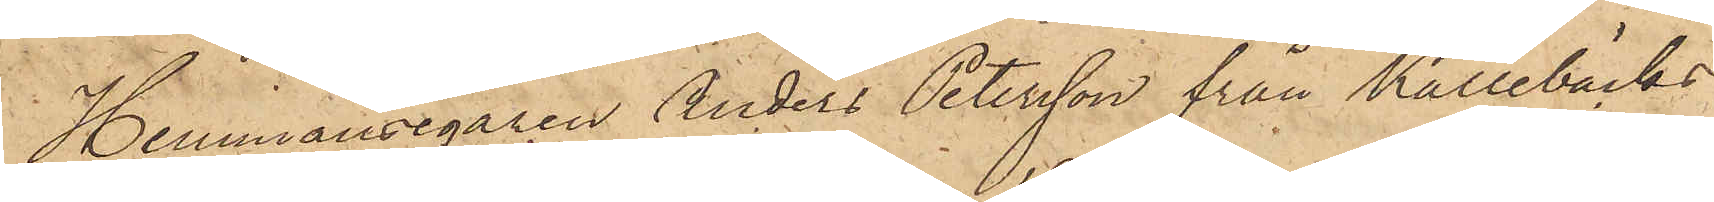Hemmansegaren Anders Petersson från Kallebäcks
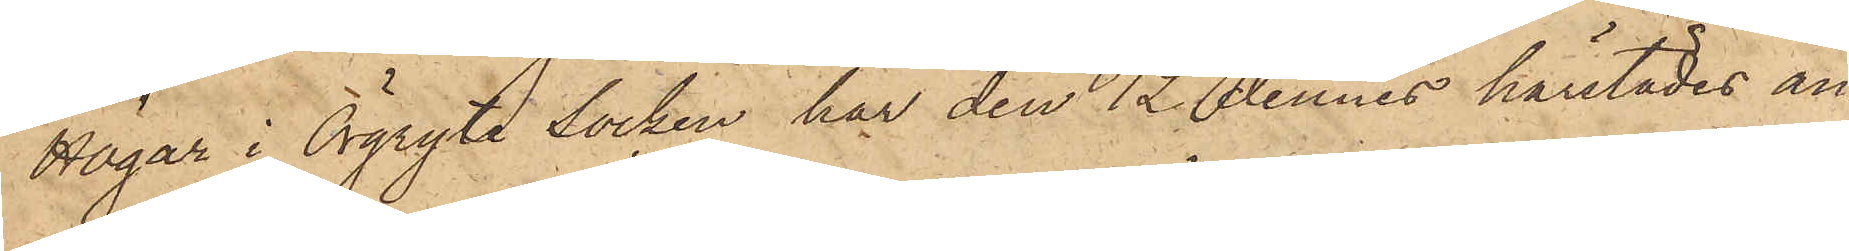Högar i Örgryte Socken har den 12 dennes härstädes an¬
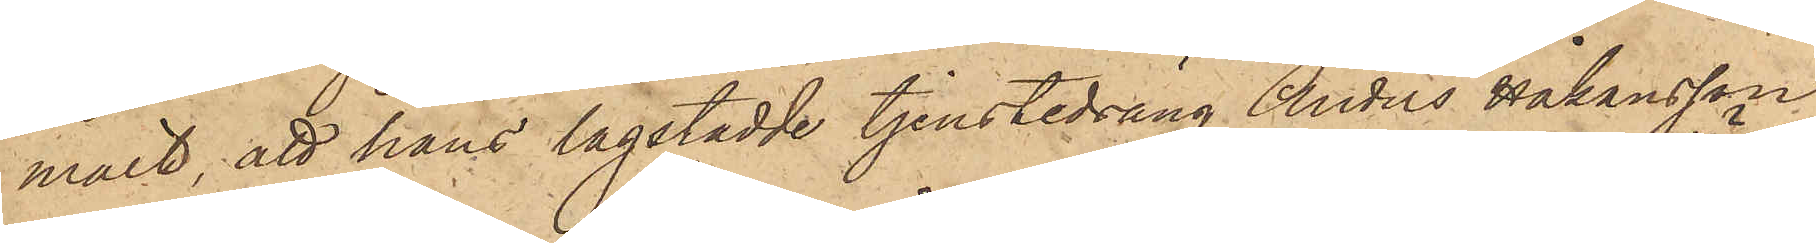mält, att hans lagstadde tjenstedräng Anders Håkansson
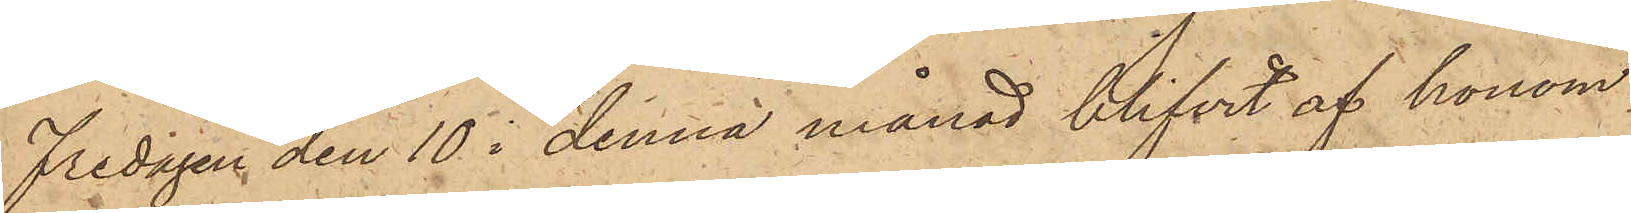Fredagen den 10 i denna månad blifvit af honom
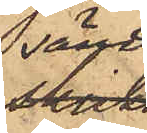sänd
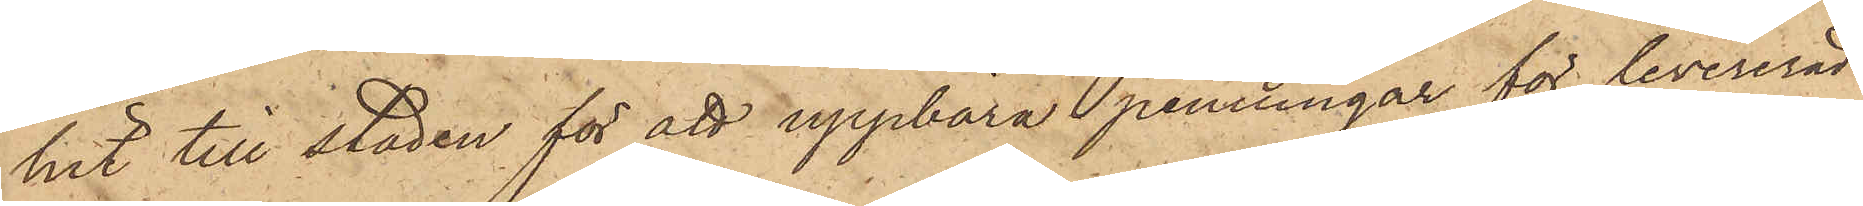hit till staden för att uppbära penningar för levererad
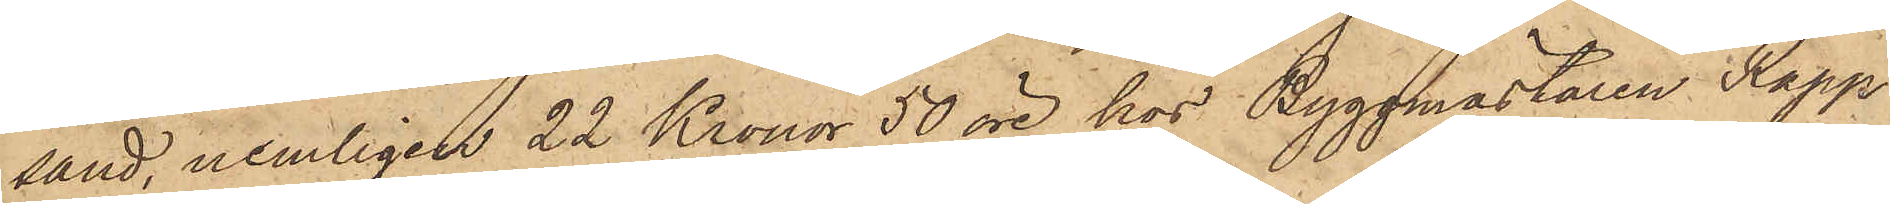sand, nemligen 22 Kronor 50 öre hos Byggmästaren Rapp
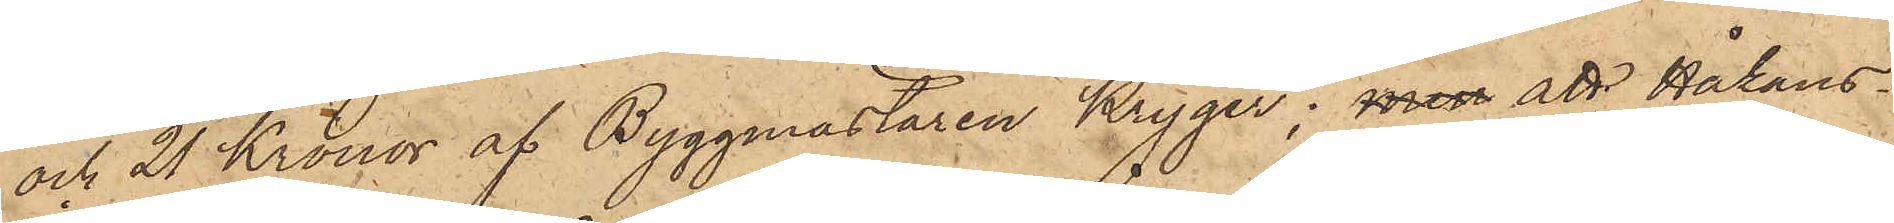och 21 Kronor af Byggmästaren Kryger; men att Håkans¬
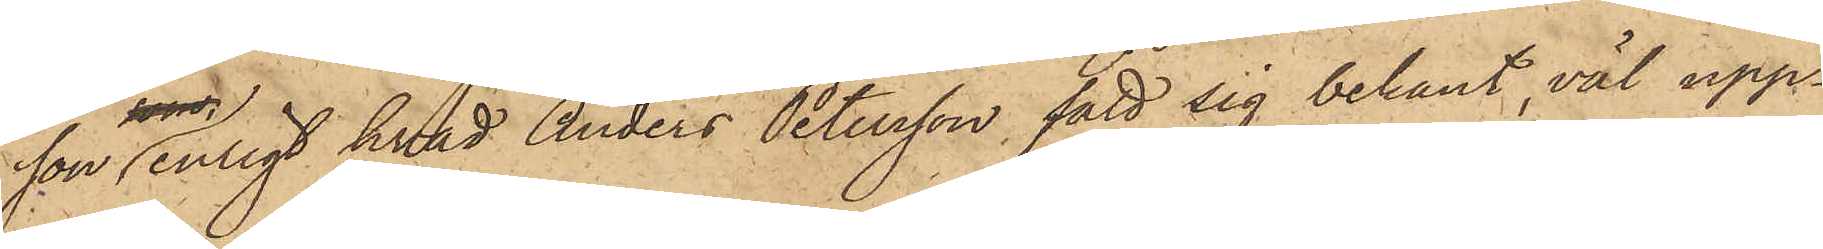son enligt hvad Anders Petersson fått sig bekant, väl upp¬
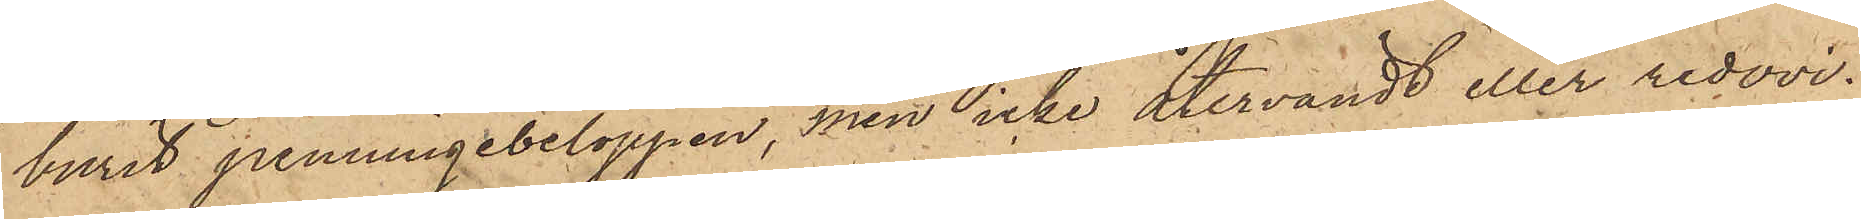burit penningebeloppen, men icke återvändt eller redovi¬
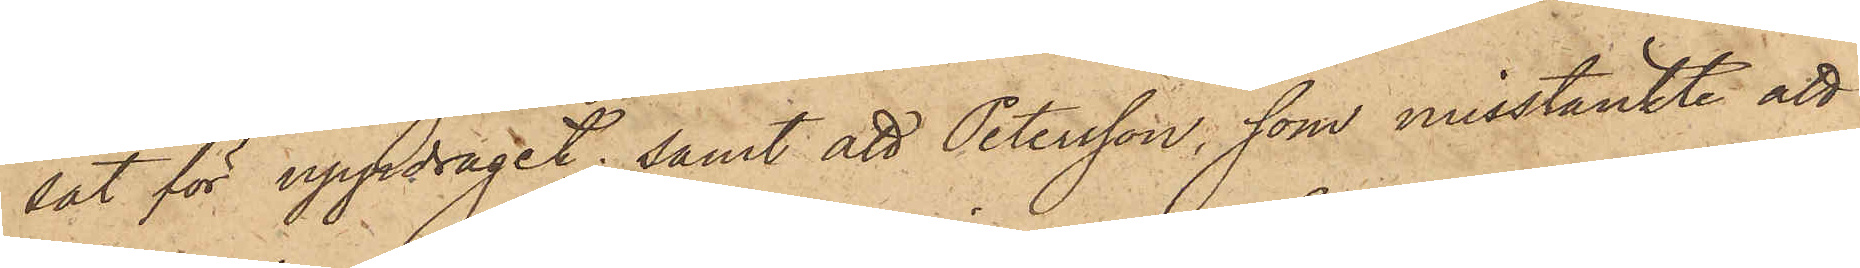sat för uppdraget; samt att Petersson, som misstänkte att
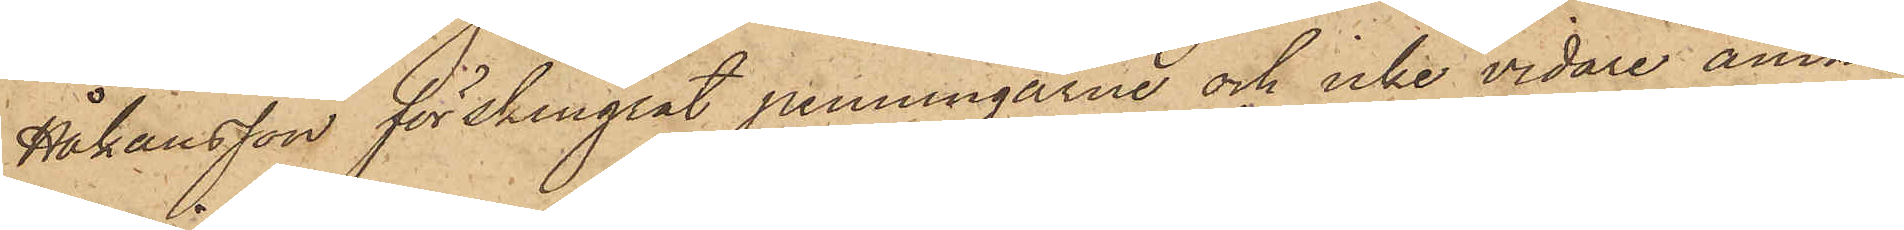Håkansson förskingrat penningarne och icke vidare ämna¬
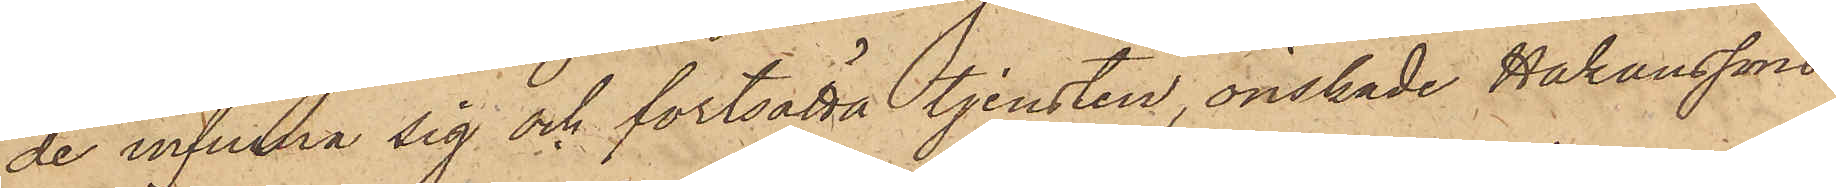de infinna sig och fortsätta tjensten, önskade Håkanssons
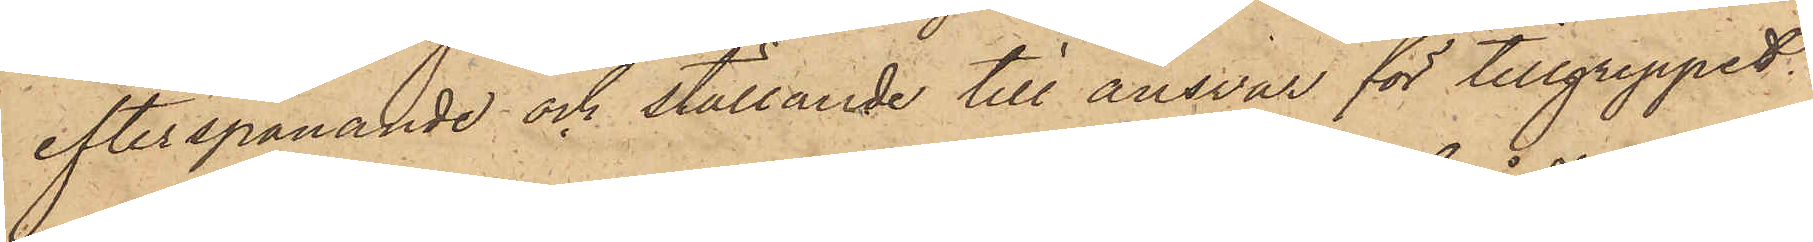efterspanande och ställande till ansvar för tillgreppet.
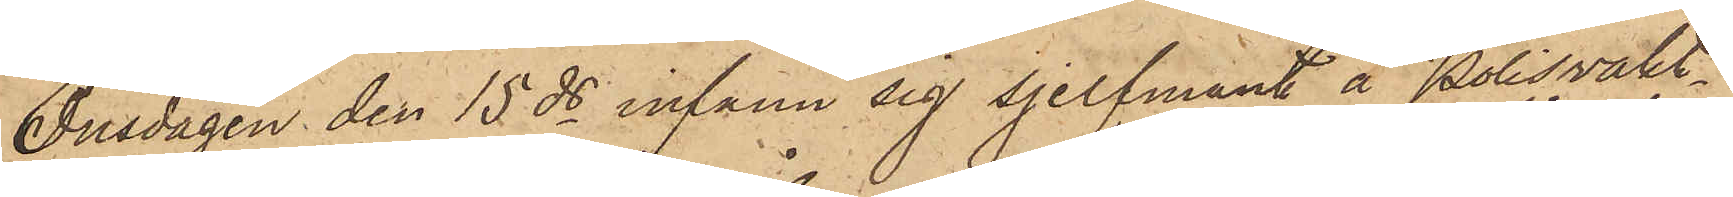Onsdagen den 15 ds infann sig sjelfmant å Polisvakt¬
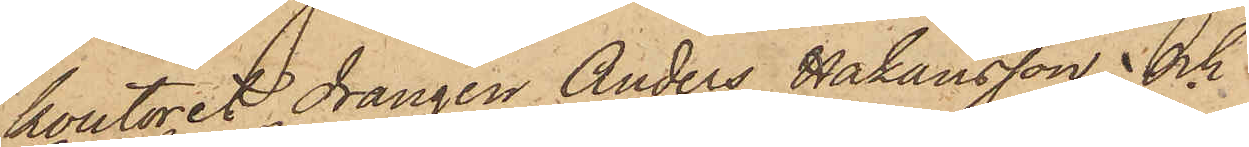kontoret drängen Anders Håkansson och
